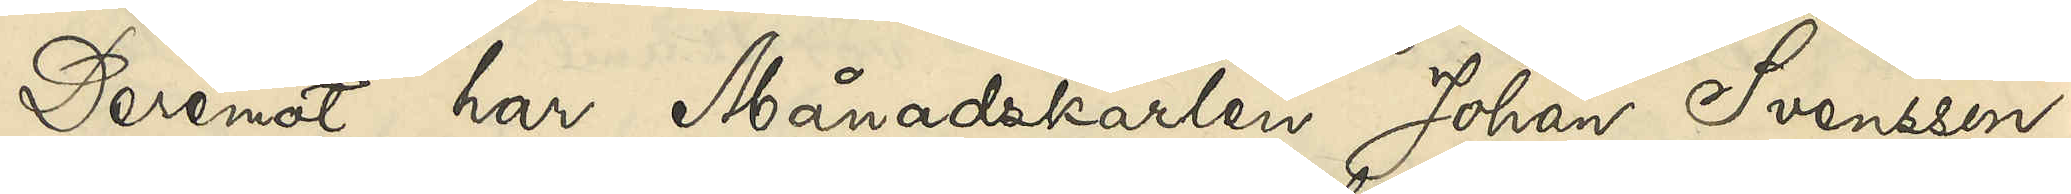Deremot har Månadskarlen Johan Svensson,
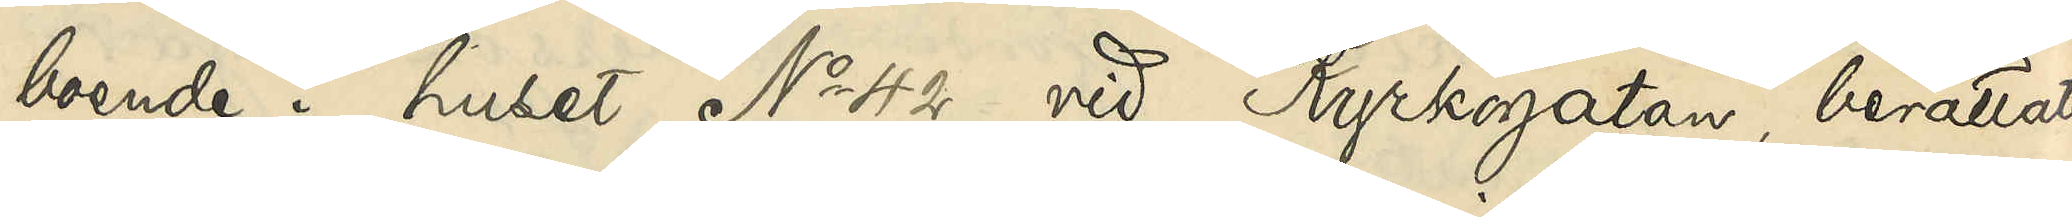boende i huset No 42 vid Kyrkogatan, berättat
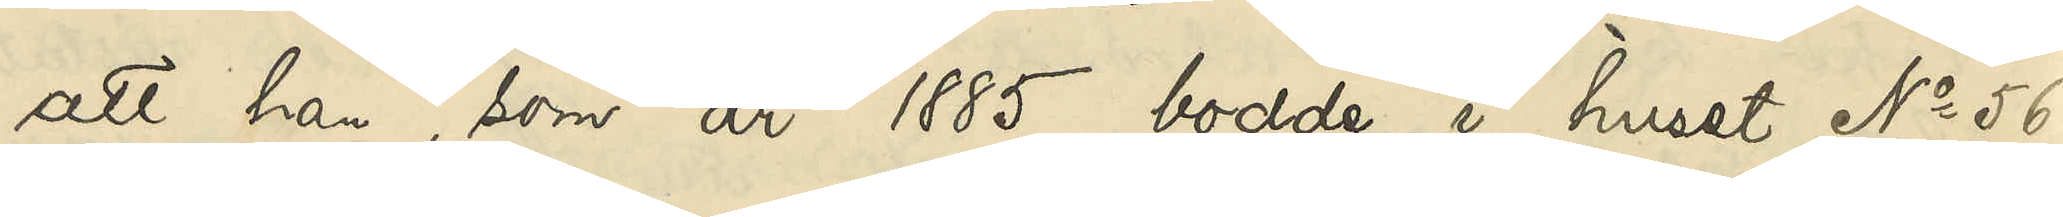att han, som år 1885 bodde i huset No 56
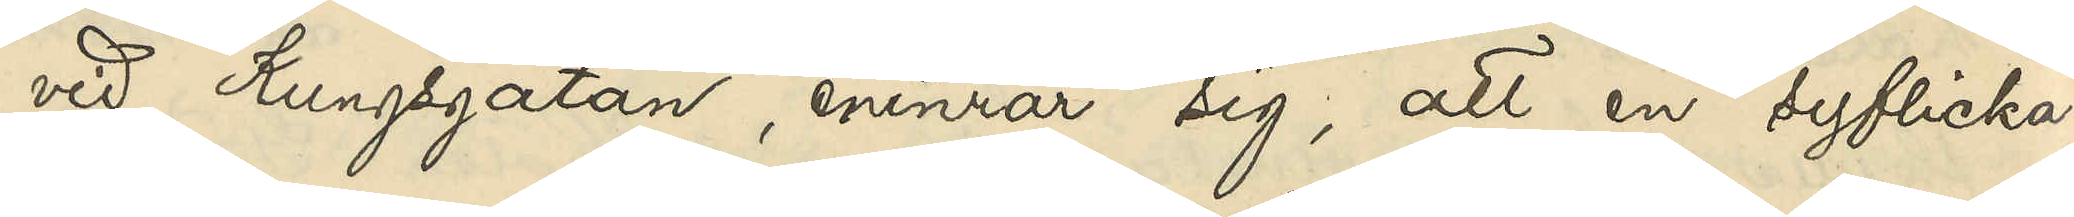vid Kungsgatan, erinrar sig, att en syflicka
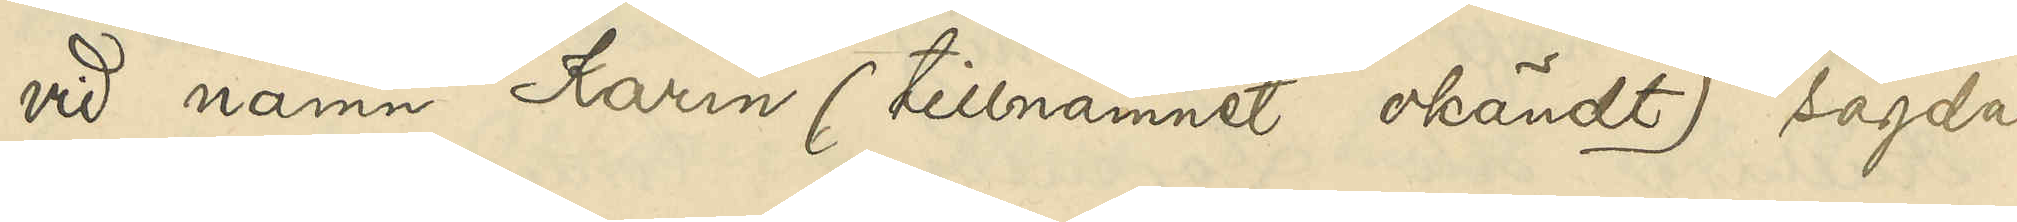vid namn Karin (tillnamnet okändt) sagda
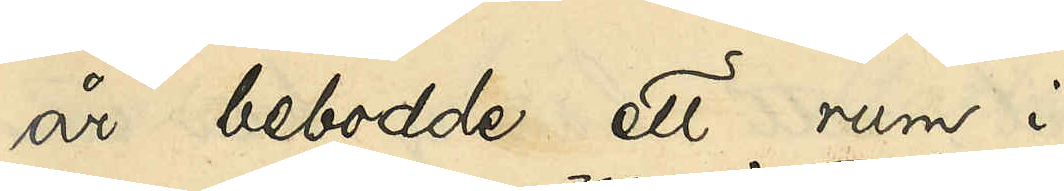år bebodde ett rum i
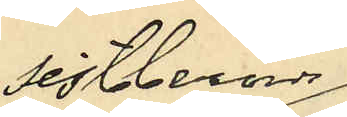sistberörde
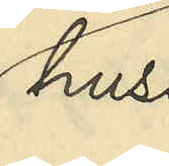hus
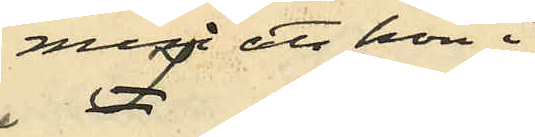men att hon i
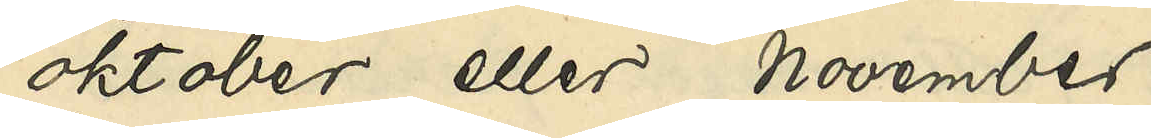oktober eller november
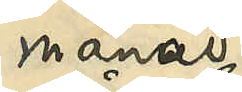månad
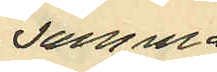samma
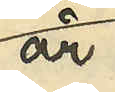år
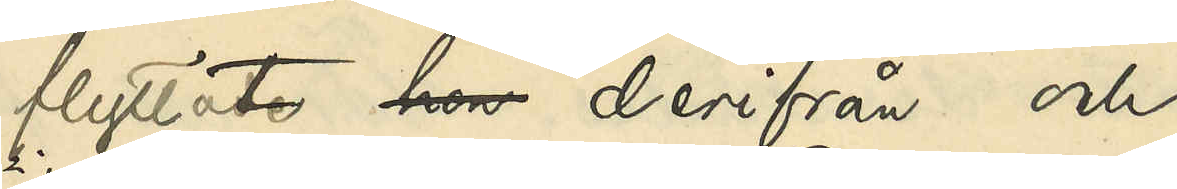flyttat hon derifrån och
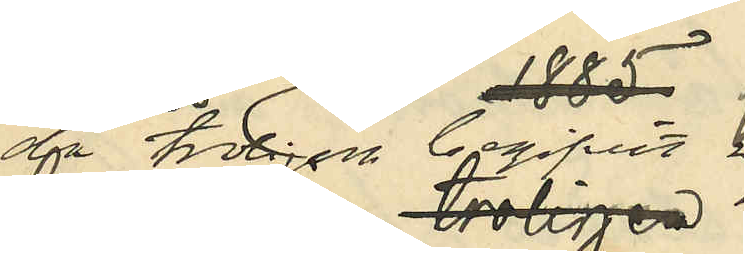då troligen begifvit sig
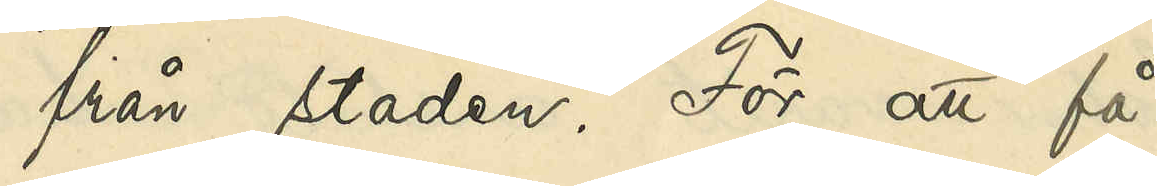från staden. För att få
